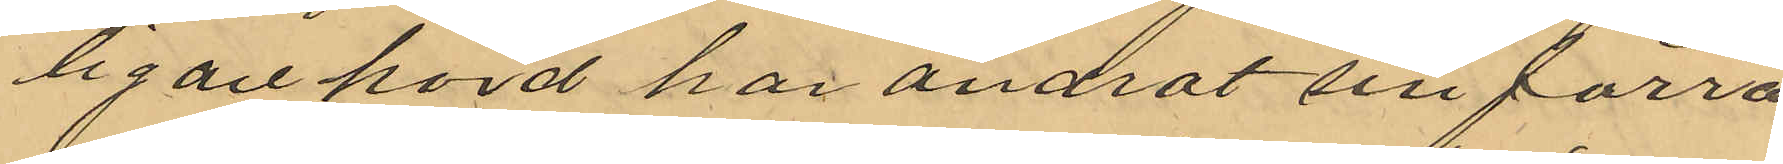ligare hörd har ändrat sin förra
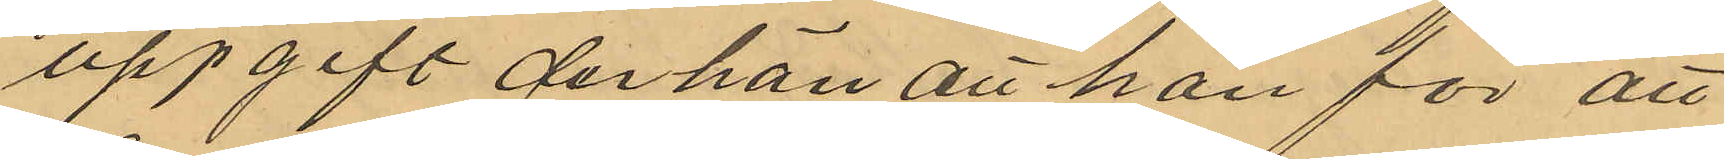uppgift derhän att han för att
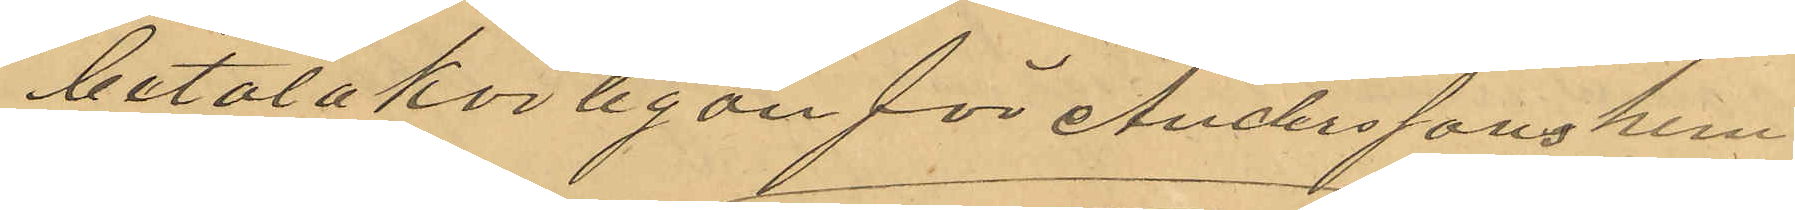betala körlegan för Anderssons hem
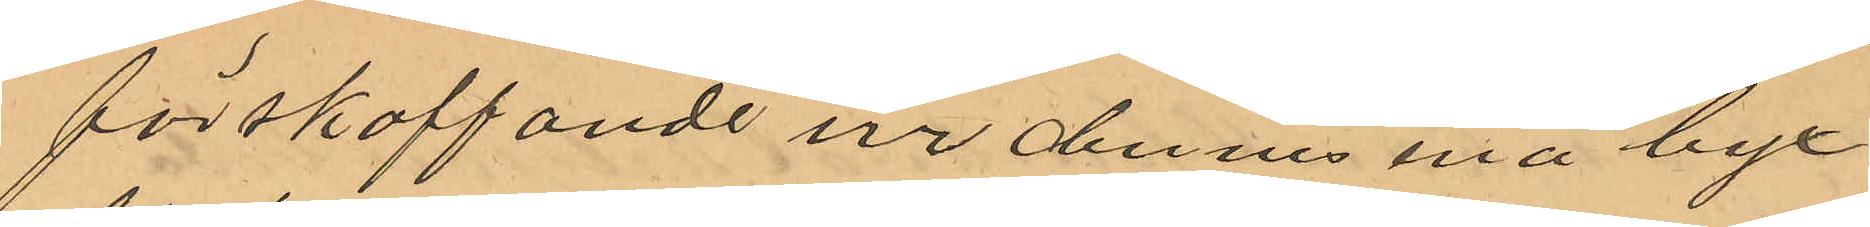förskaffande ur dennes ena byx
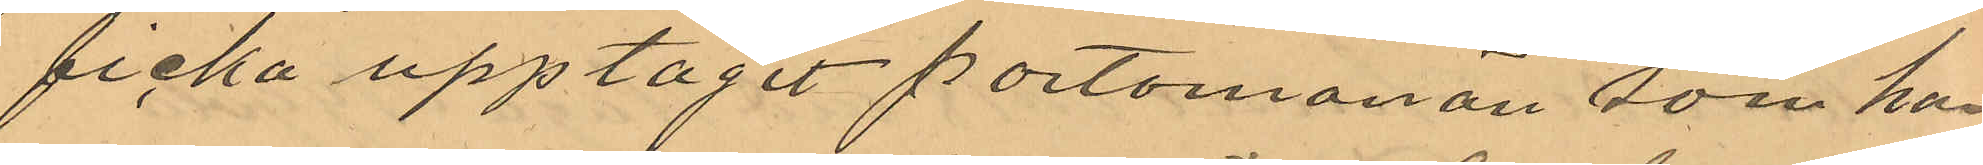ficka upptagit portomonän som han
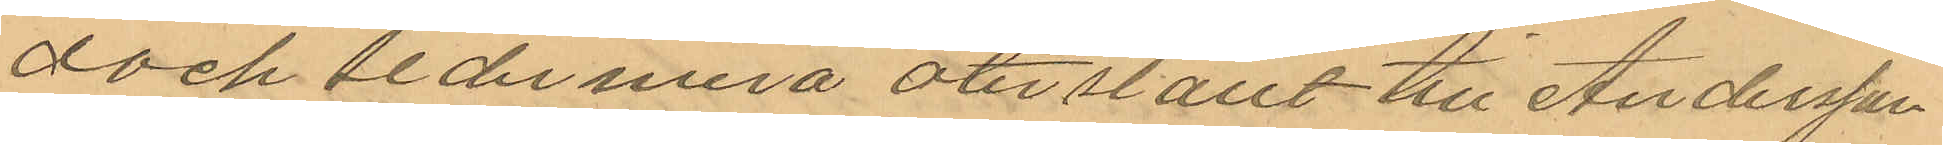dock sedermera återställt till Andersson
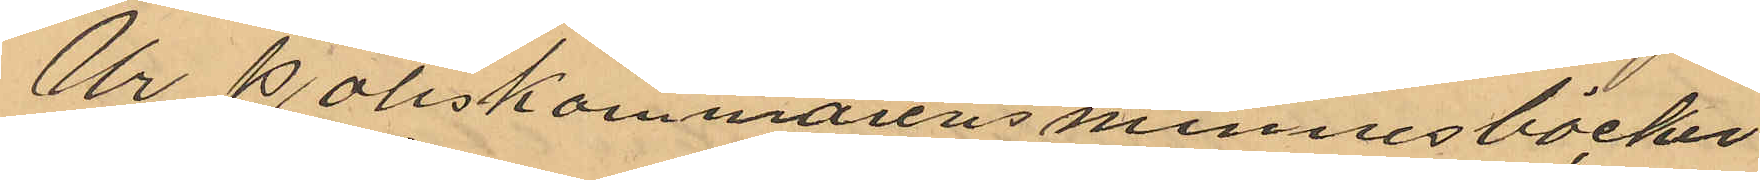Ur Poliskammarens minnesböcker
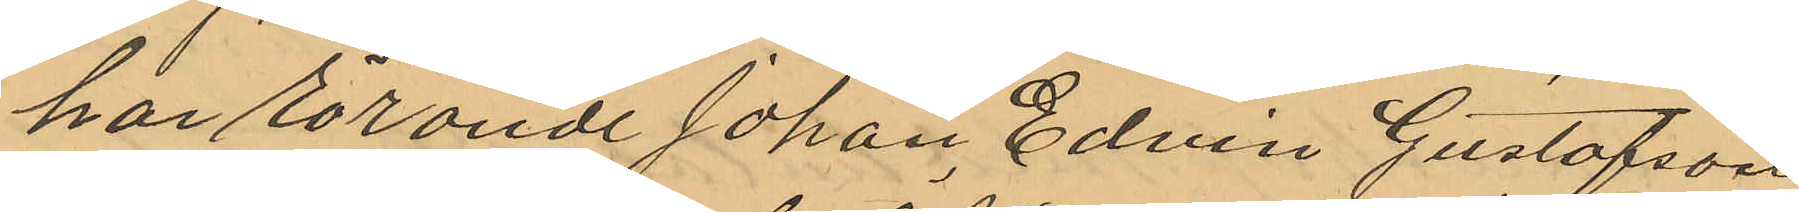har rörande Johan Edvin Gustafson
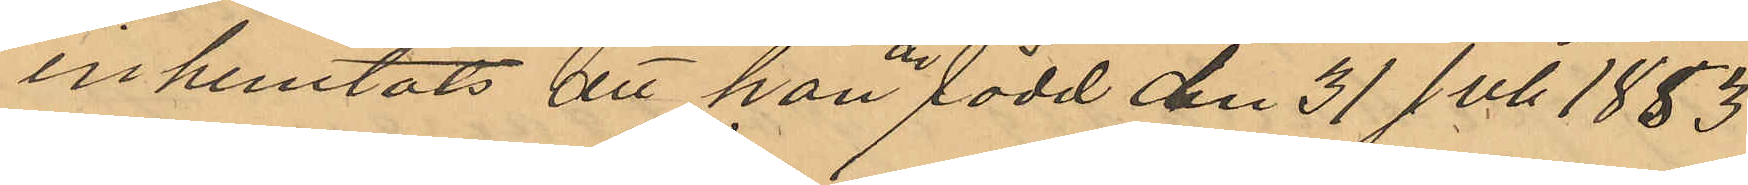inhemtats att han är född den 31 Juli 1853
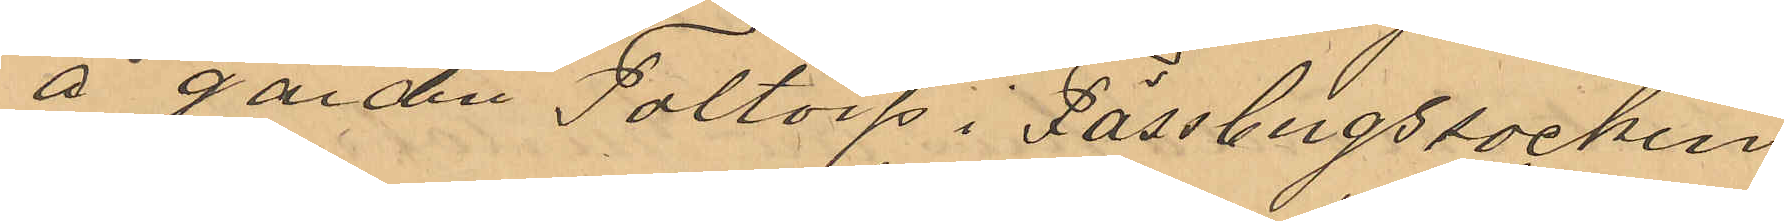å gården Faltorp i Fässbergs socken
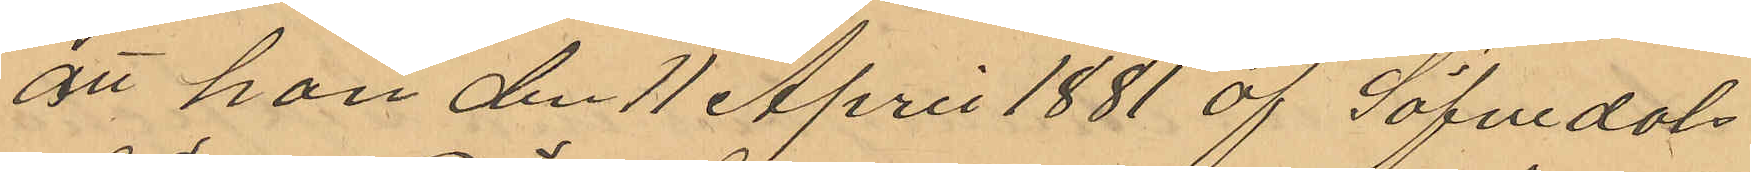att han den 11 April 1881 af Säfvedals
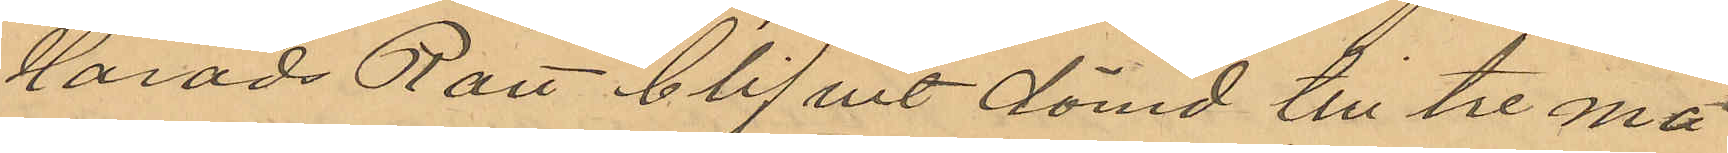Härads Rätt blifvit dömd till tre må
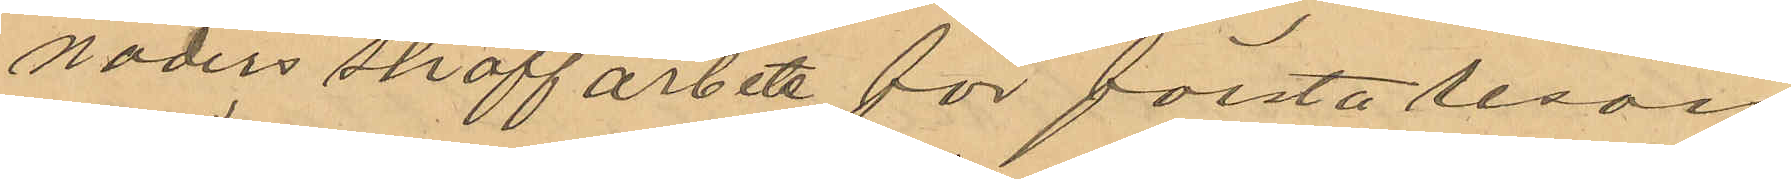naders straffarbete för första resan
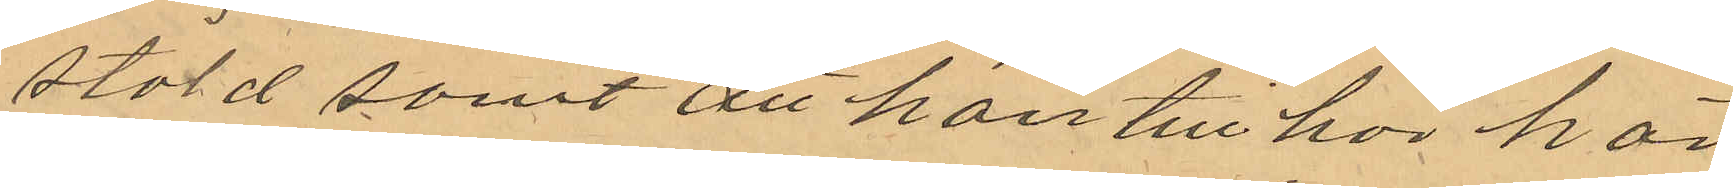stöld samt att han tillhör här
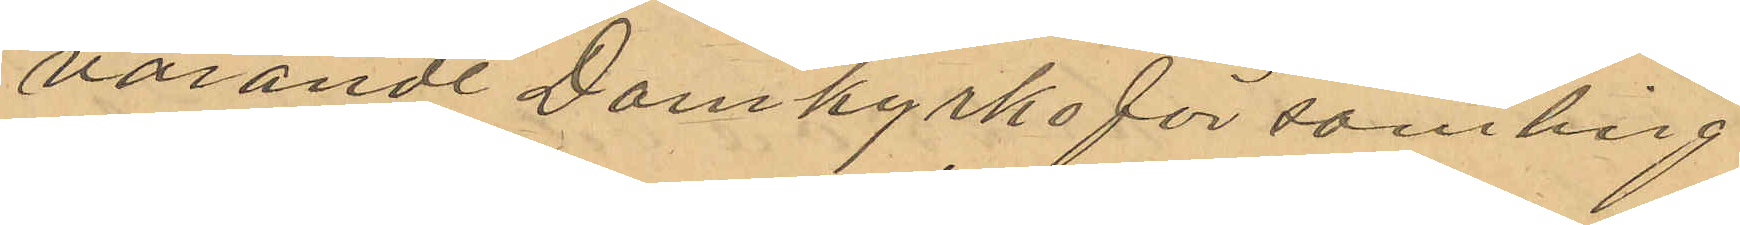varande Domkyrkoförsamling
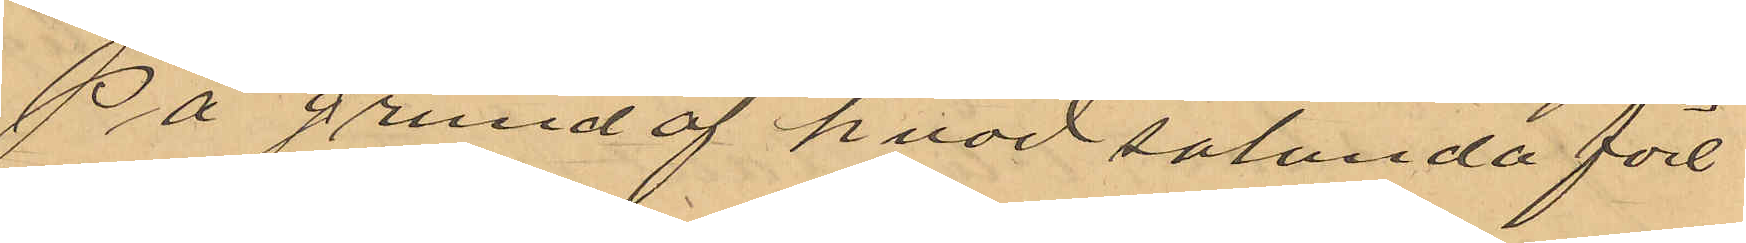På grund af hvad sålunda före¬
